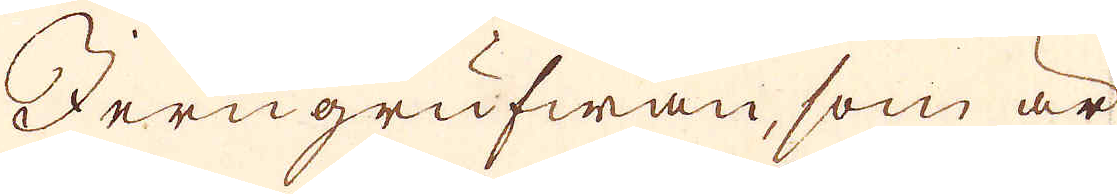Jerngrufwan, som är
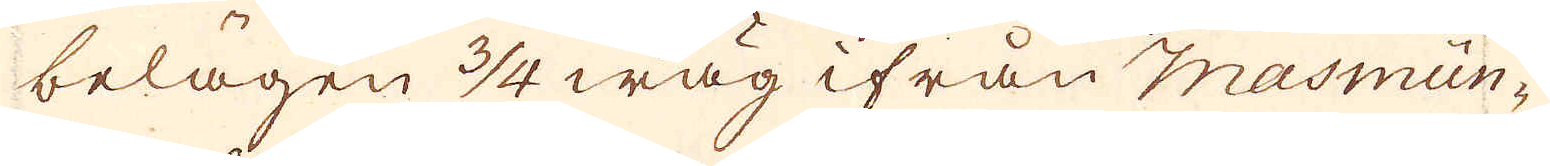belägen 3/4 wäg ifrån Masmün-
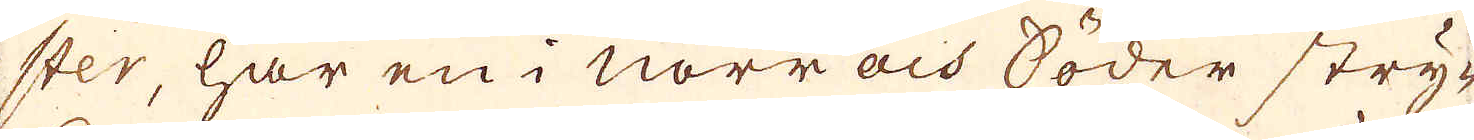ster, har en i Norr och Söder stry-
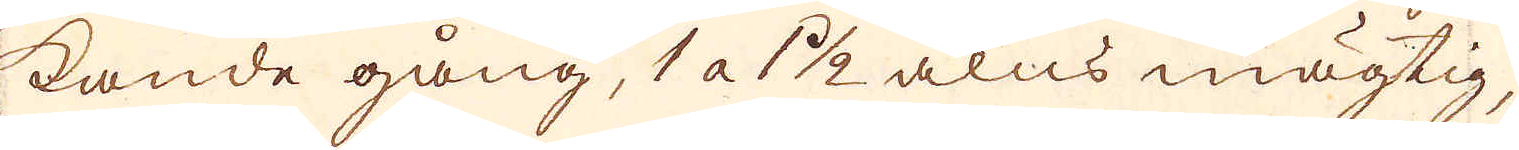kande gång, 1 a 1 1/2 alns mägtig
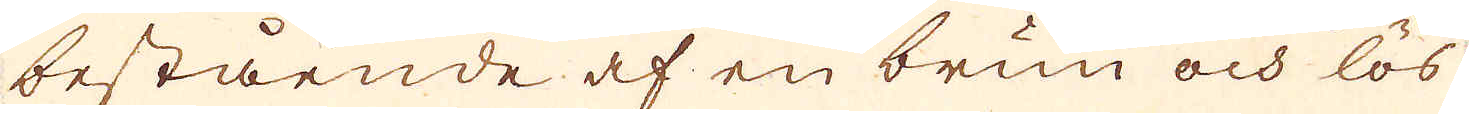bestående af en brun och lös
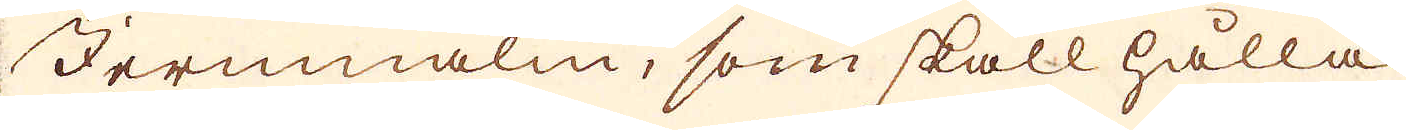Jernmalm, som skall hålla
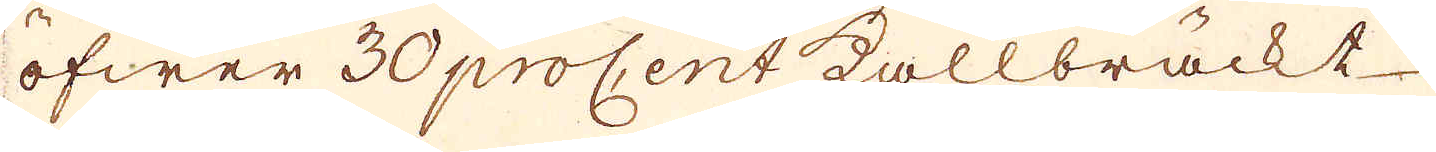öfwer 30 procent kallbräckt-
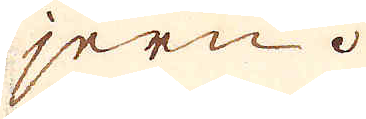jern.
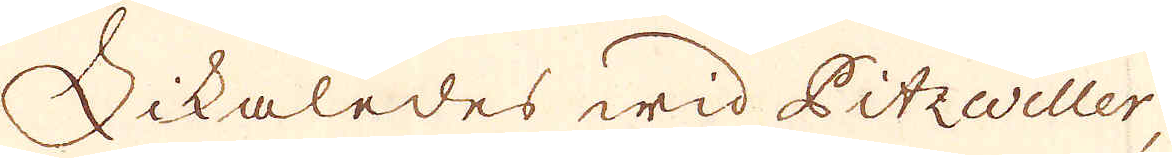Likaledes wid Pitzwiller
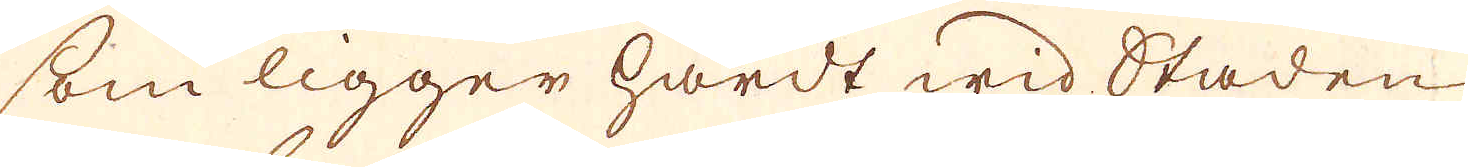som ligger hwadt wid Staden
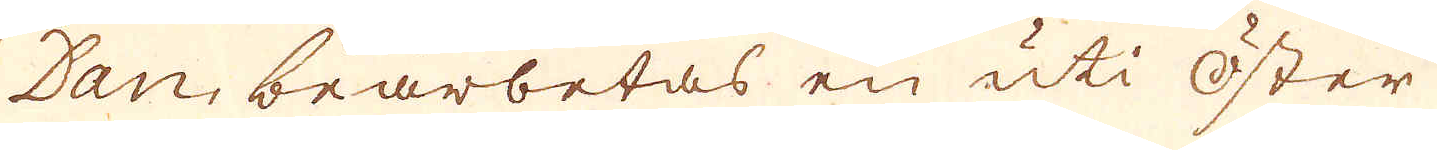Dan, bearbetas en uti Öster
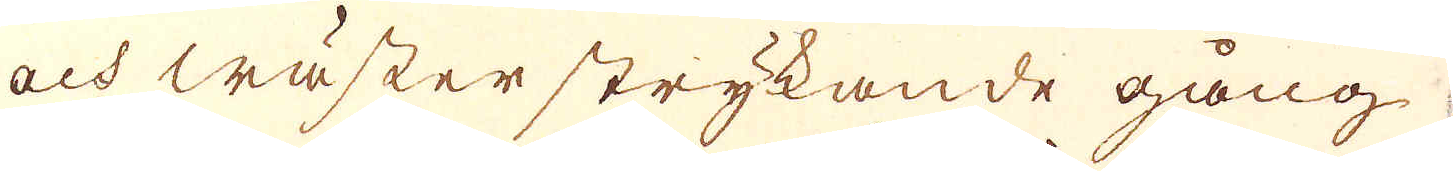och wäster strykande gång
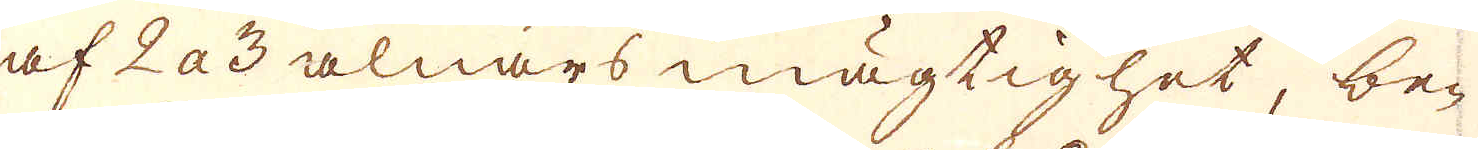af 2 a 3 alnars mägtighet, be-
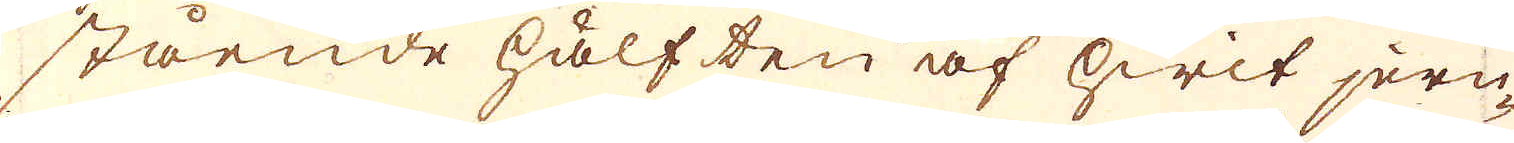stående hälften af hwit jern-
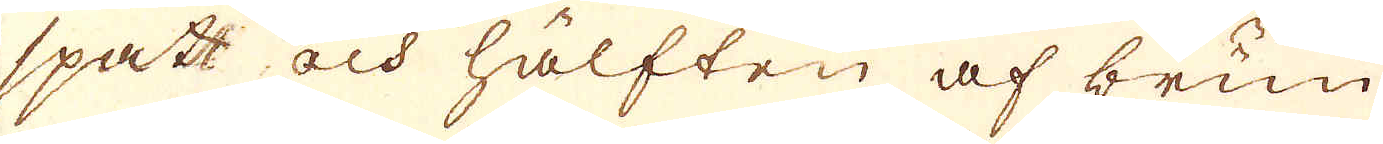spatt och hälften af brun
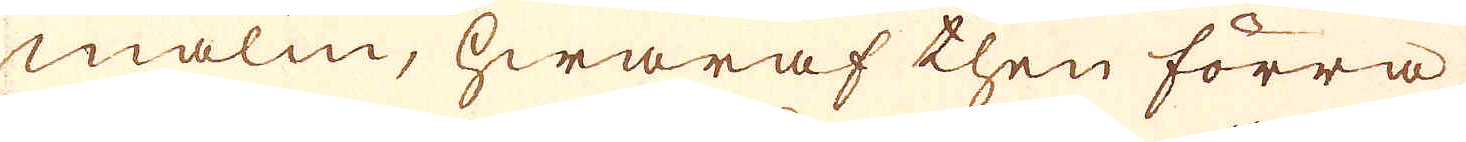malm, hwaraf then förra
